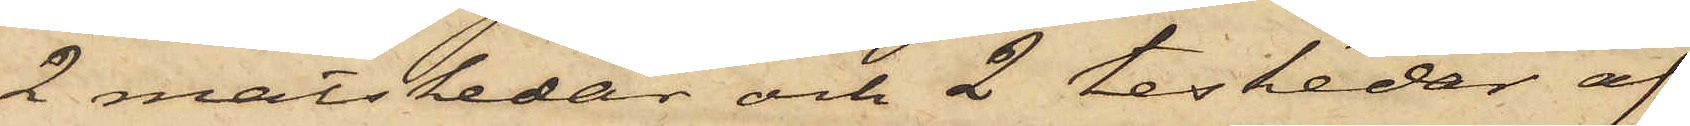2 matskedar och 2 teskedar af
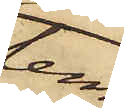tenn,
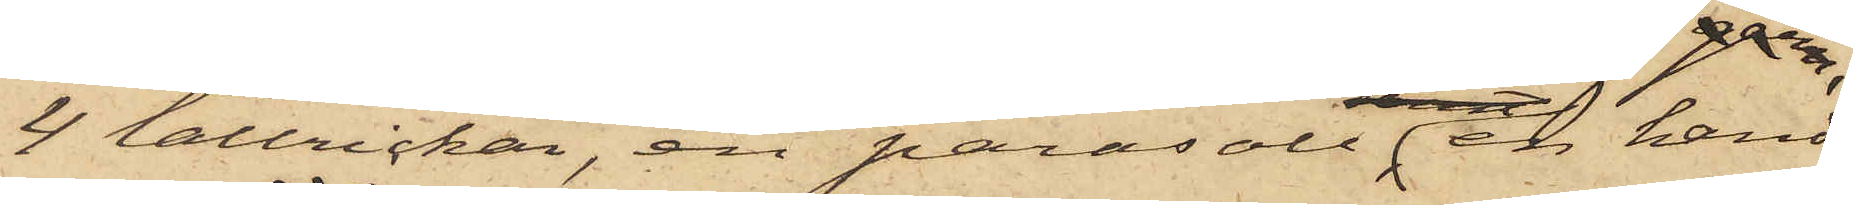4 tallrickar, en parasoll, en hand¬
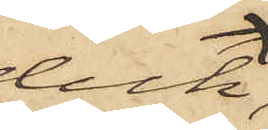duk,
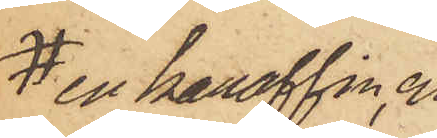en karaffin, en
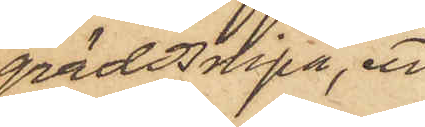gräddsnipa, ett
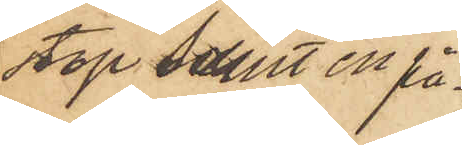stop samt en på¬
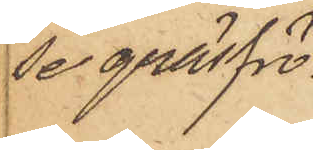se gräsfrö.
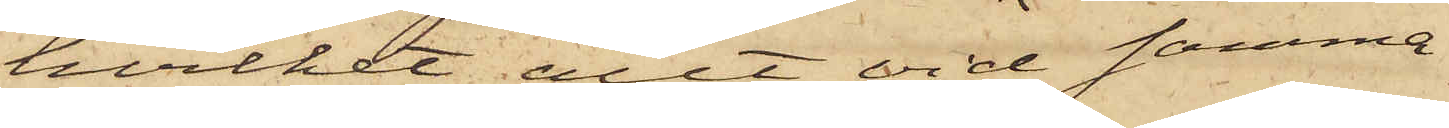hvilket allt vid samma
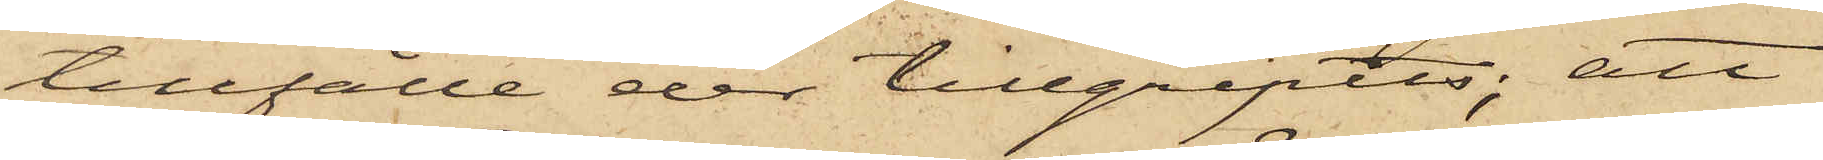tillfälle der tillgripits; att
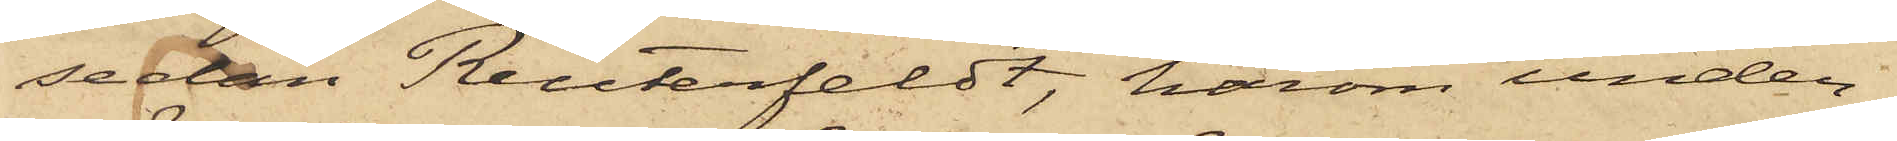sedan Reuterfeldt, härom under¬
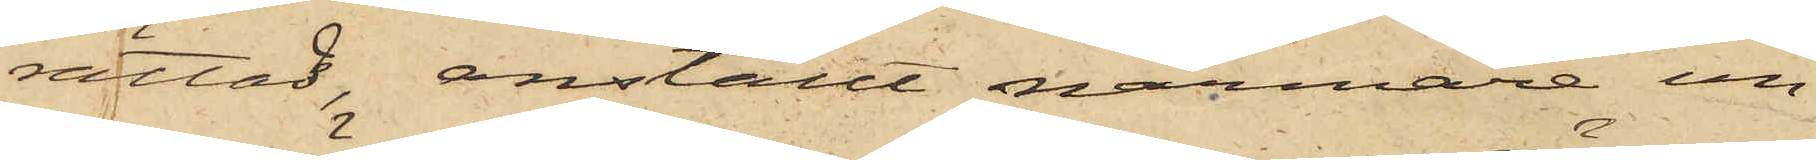rättad, anställt närmare un¬
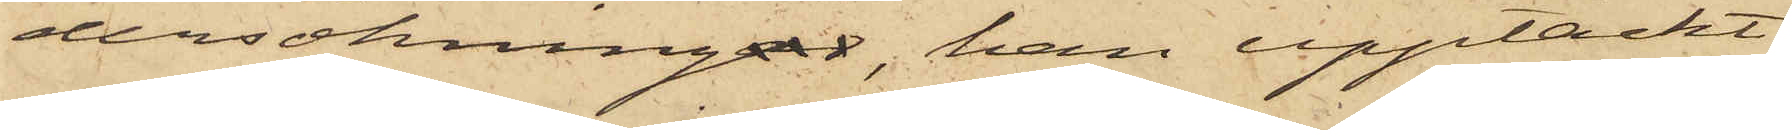dersökningar, han upptäckt
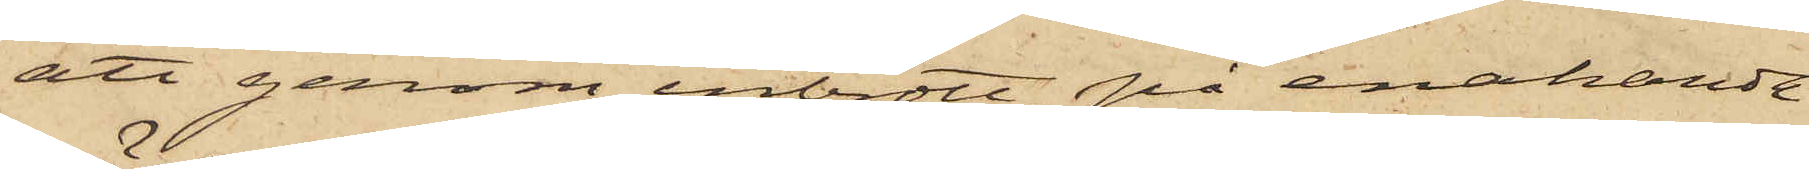att genom inbrott på enahanda
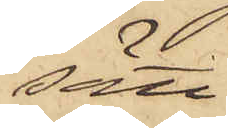sätt
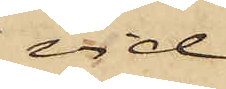vid
